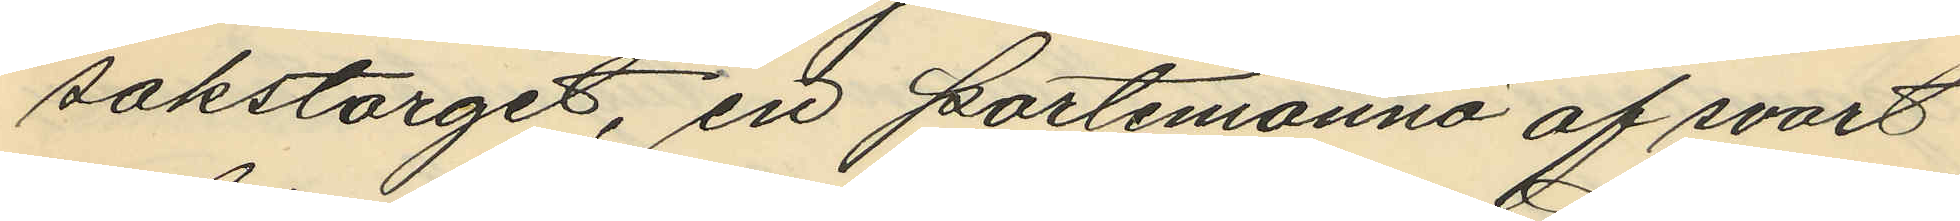sakstorget, en portemonnä af svart
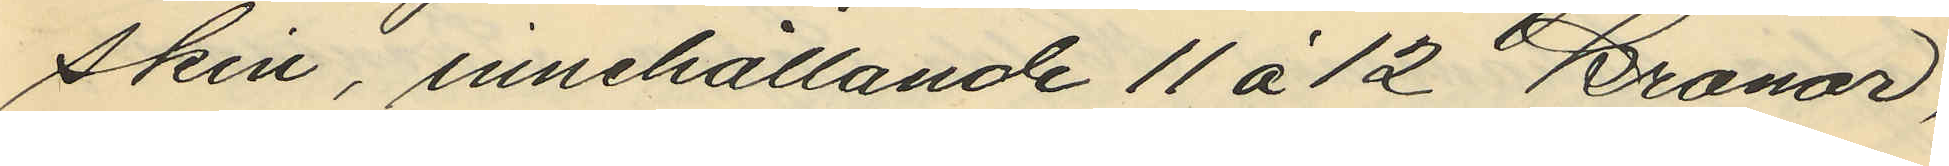skin, innehållande 11 á 12 Kronor,
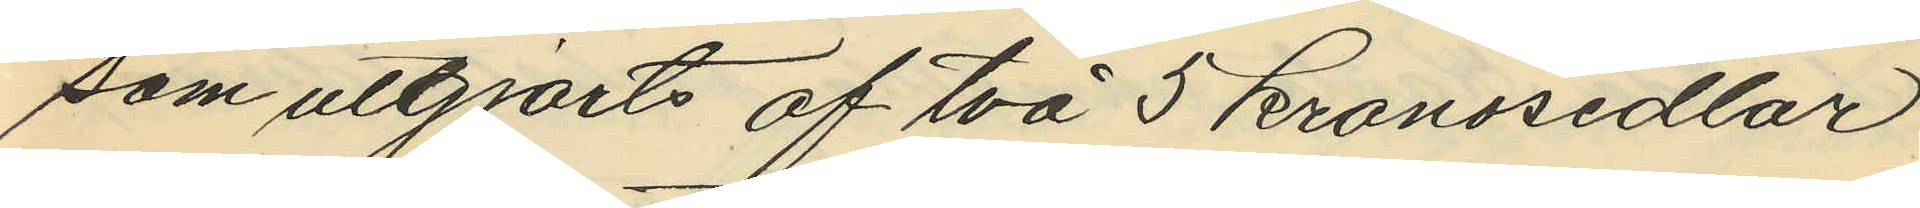som uttgjorts af två 5 kronosedlar
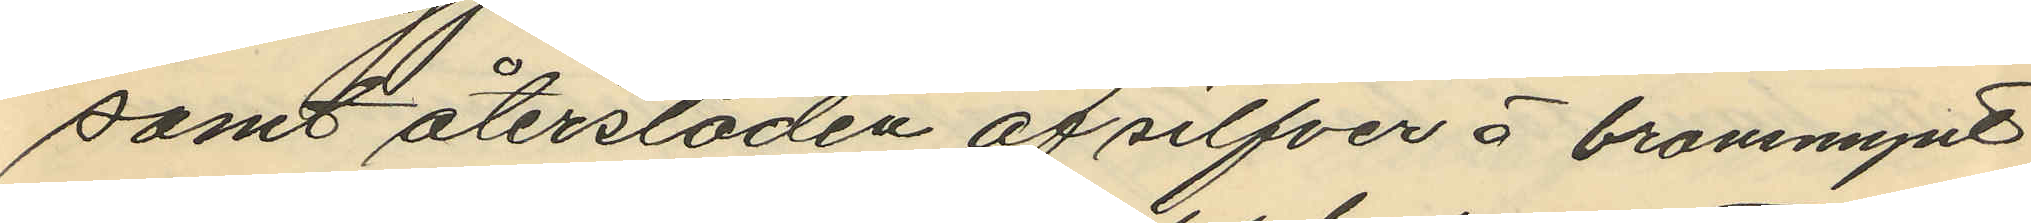samt återsloden af silfver å bronsmynt
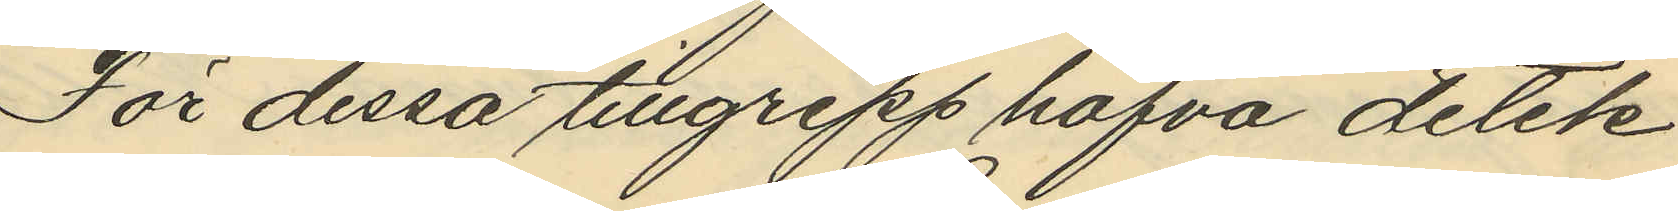För dessa tillgrepp hafva detek¬
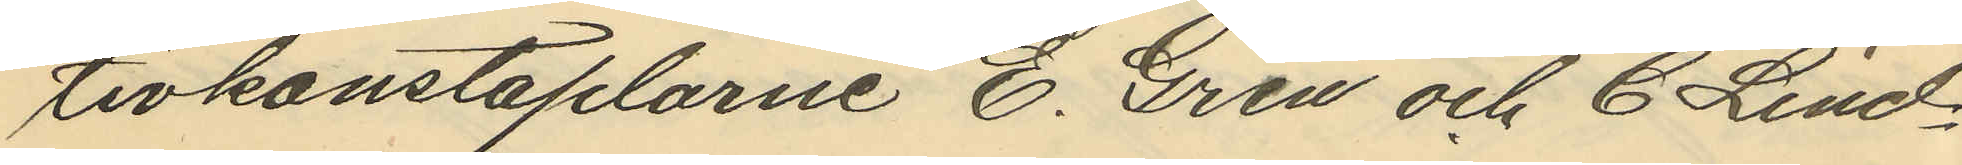tivkonstaplarne E. Gren och C. Lind¬
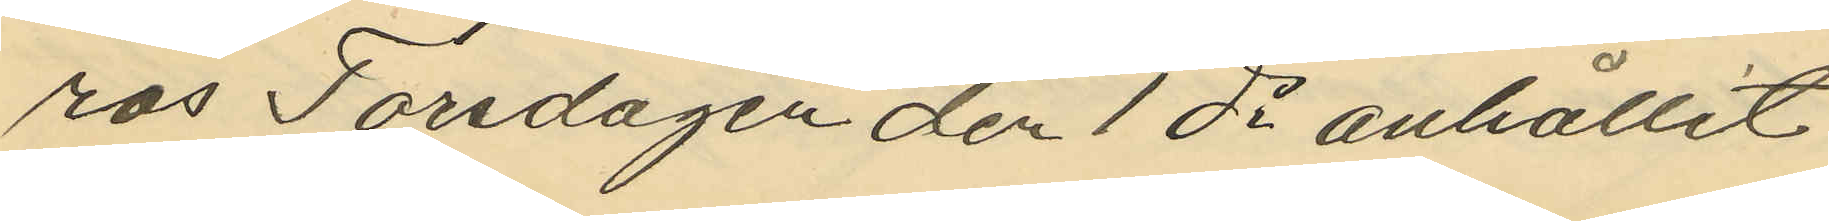ros Torsdagen den 1 ds anhållit
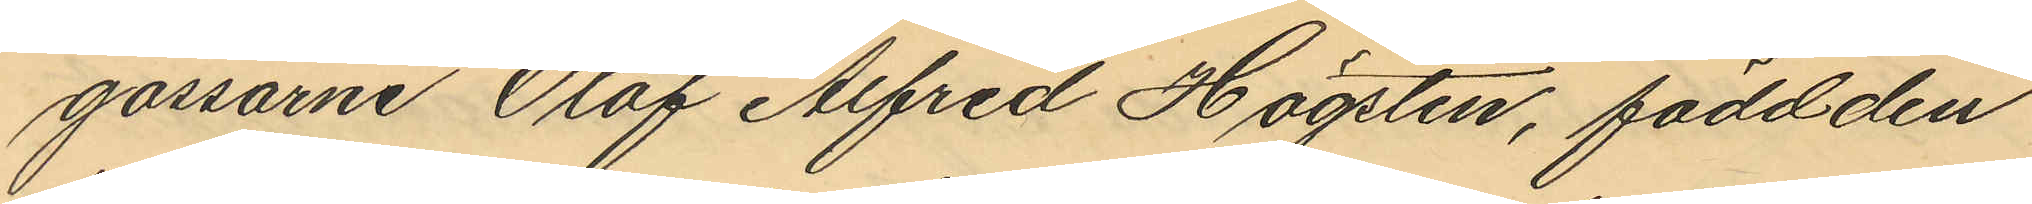gossarne Olof Alfred Högsten, född den
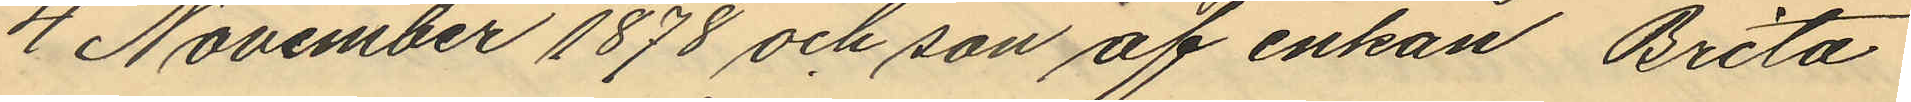4 November 1878 och son af enkan Brita
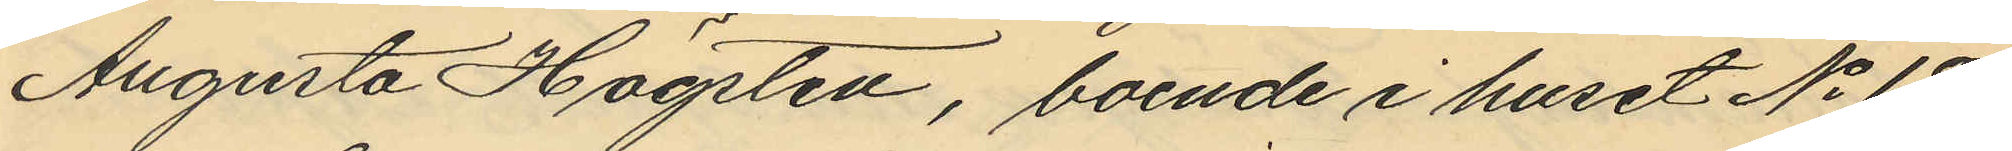Augusta Högsten, boende i huset No 18
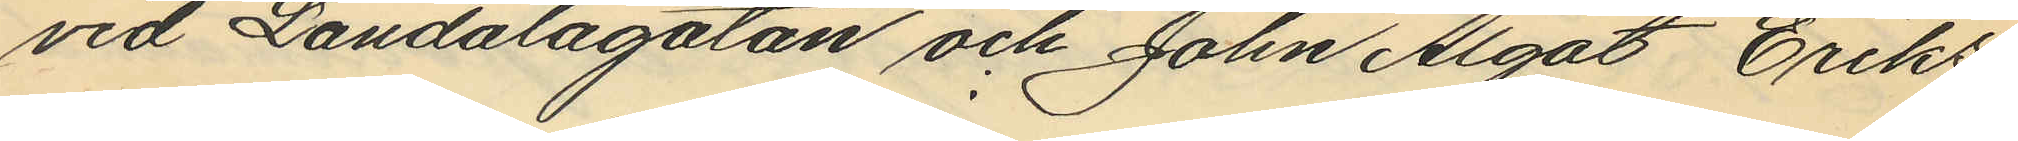vid Landalagatan och John Algot Eriks¬
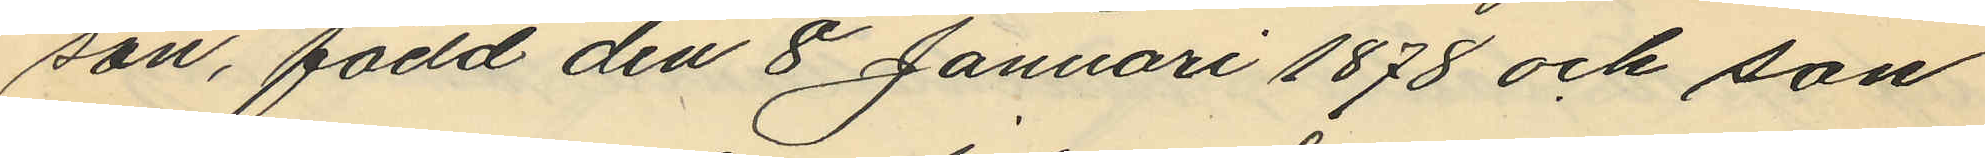son, född den 8 Januari 1878 och son
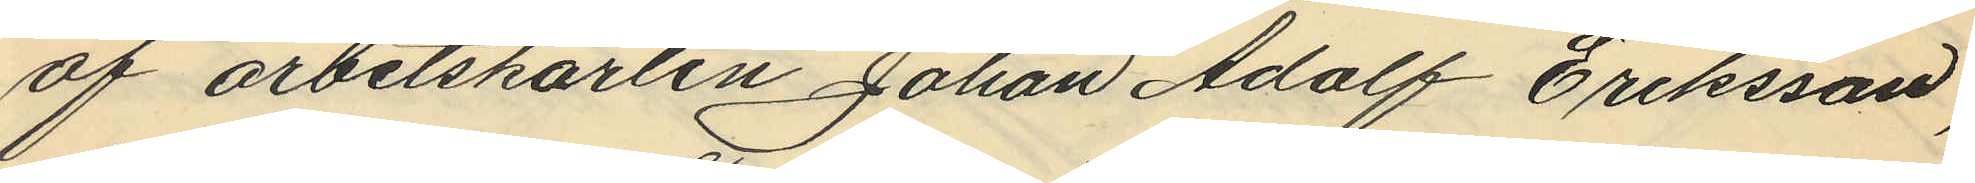af arbetskarlen Johan Adolf Eriksson,
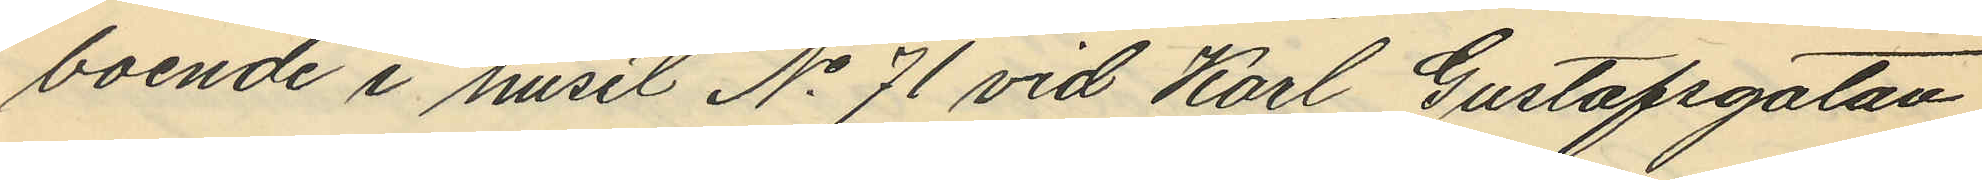boende i huset No 71 vid Karl Gustafsgatan
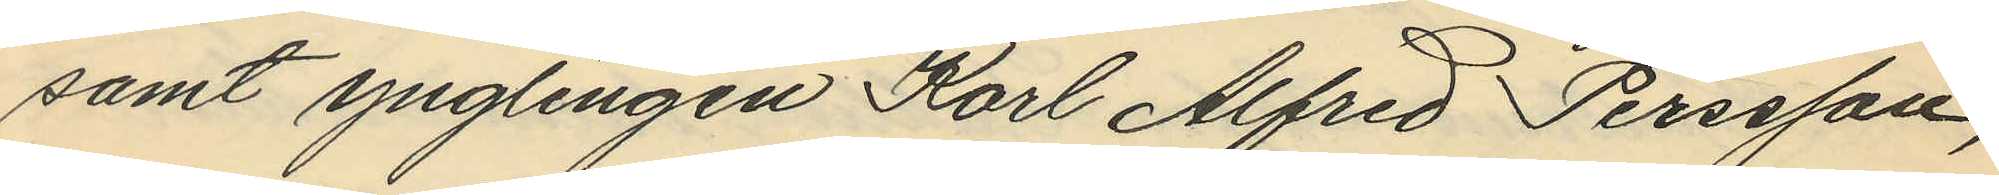samt ynglingen Karl Alfred Perssson,
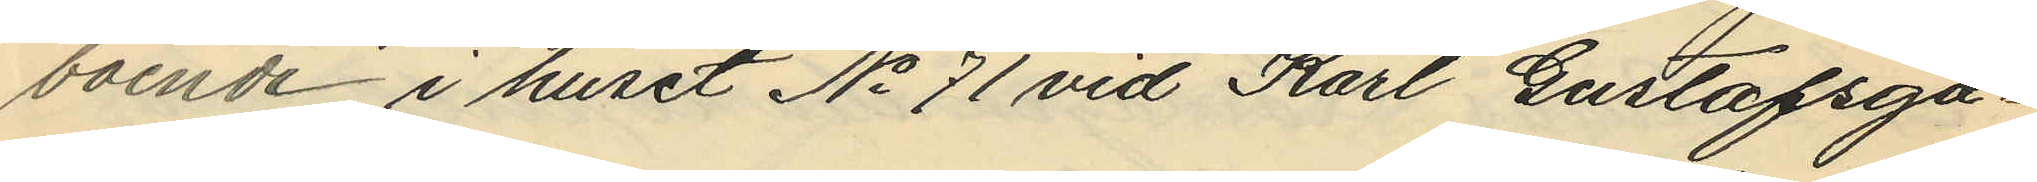boende i huset No 71 vid Karl Gustafsga¬
